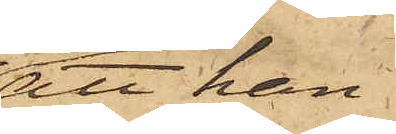att han
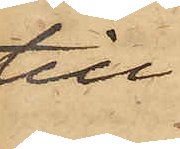till
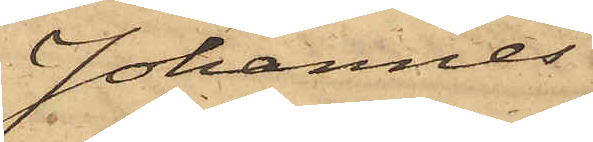Johannes
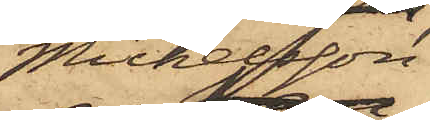Michelsson
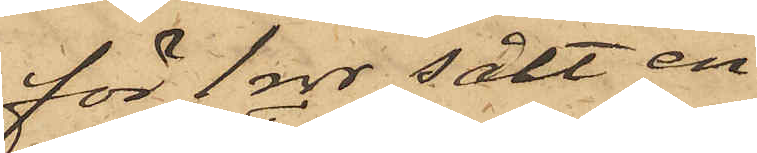för 1 rdr sålt en
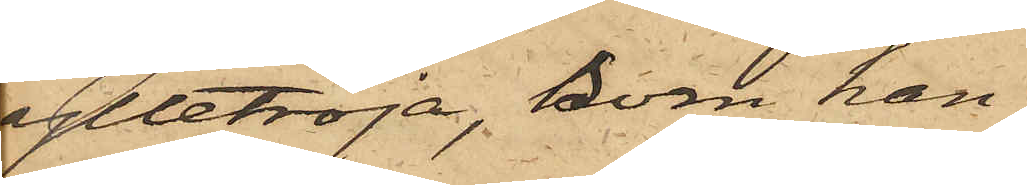ylletröja, som han
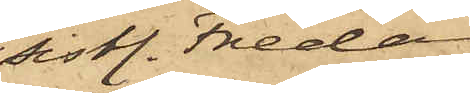sistl. Fredag
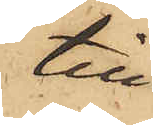till¬
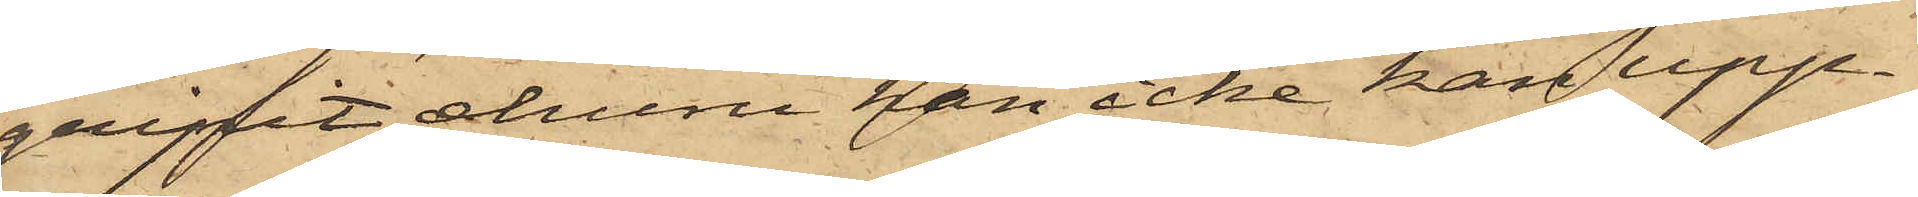gripit; ehuru han icke kan upp¬
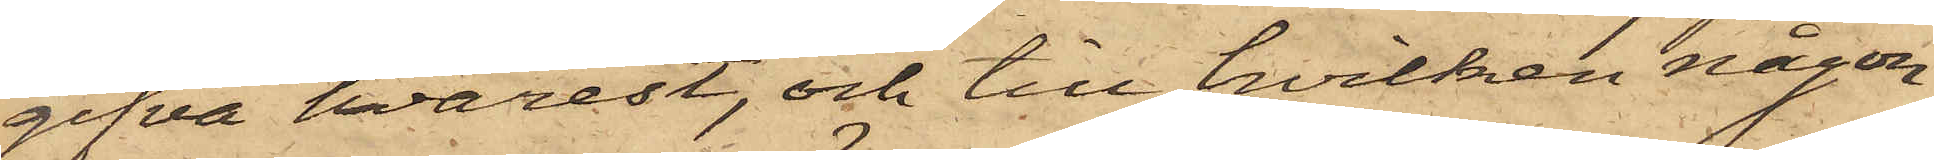gifva hvarest, och till hvilken någon
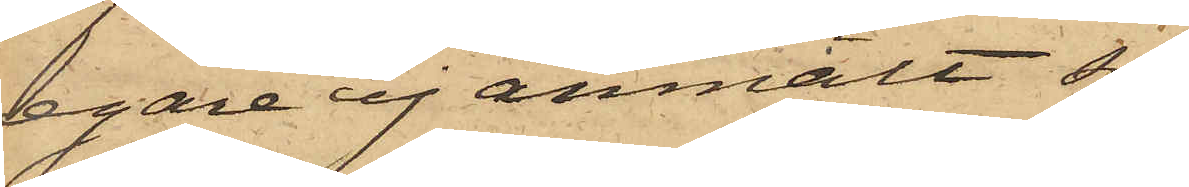egare ej anmält sig
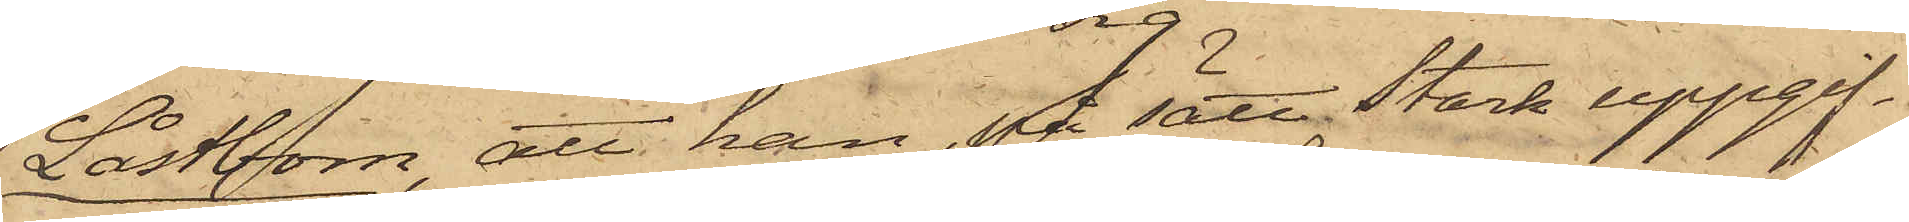Låstbom, att han, på sätt Stark uppgif¬
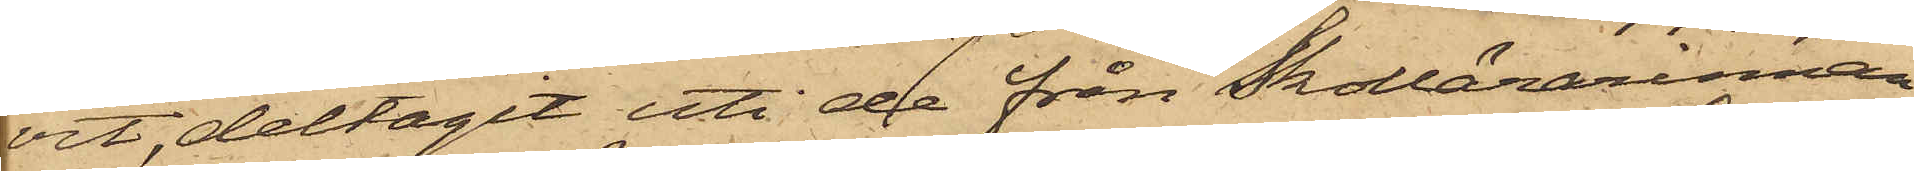vit, deltagit uti de från Skollärarinnan
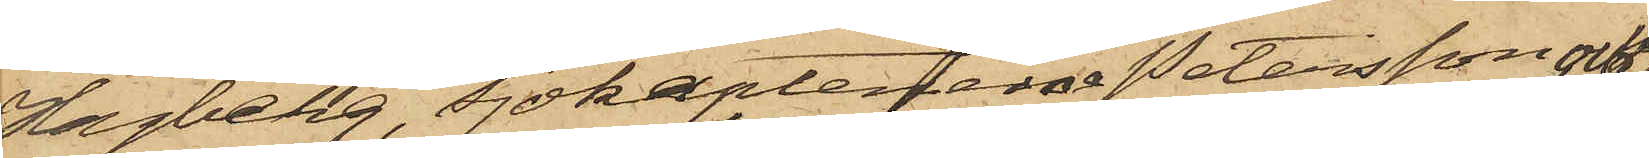Hagberg, Sjökaptenerna Petersson och
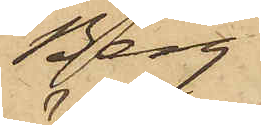Berg
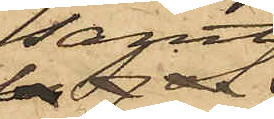samt
